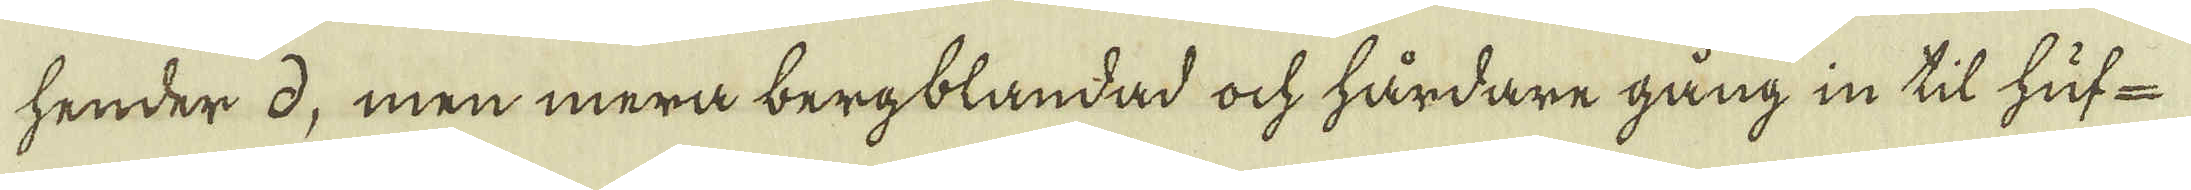hender d, men mera bergblandad ock hårdare gång in til huf-
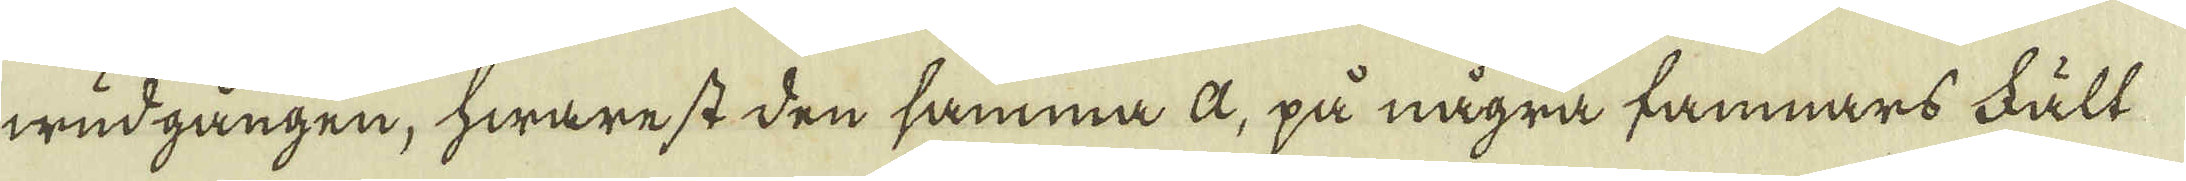wudgången, hwarest den samma a, på några famnars Fält
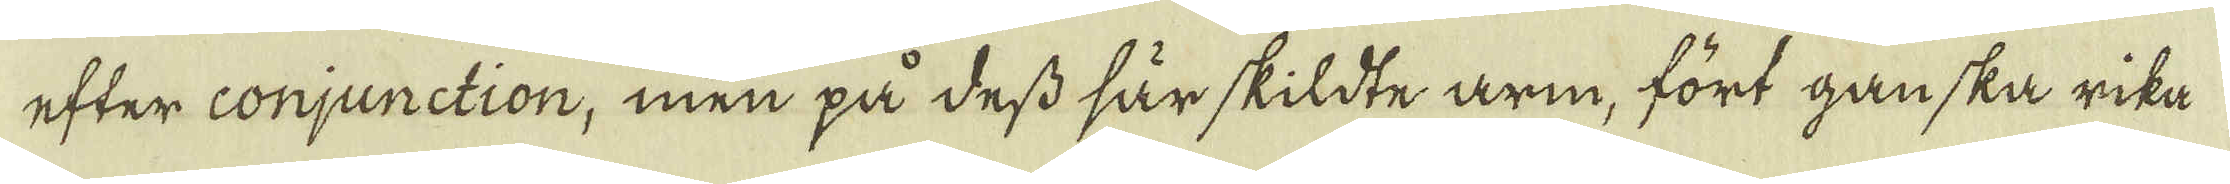efter conjunction, men på dess särskildte arm, fört ganska rika
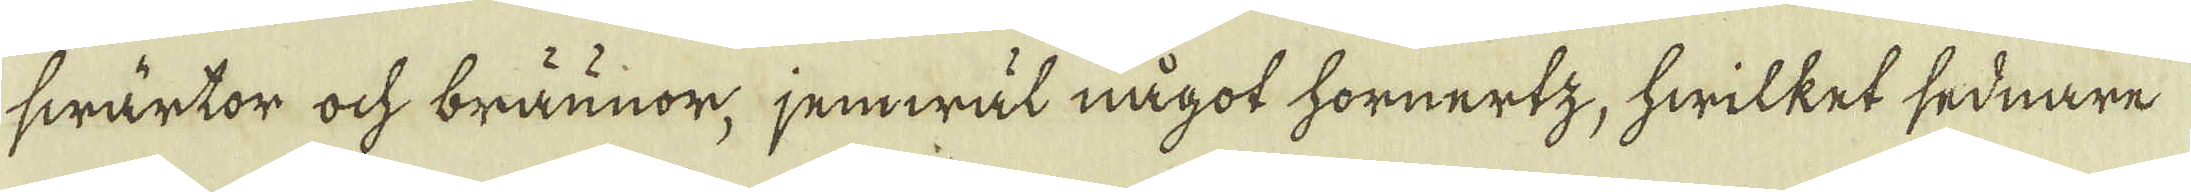swärtor ock bräunor, jemwäl något hornertz, hwilket sednare
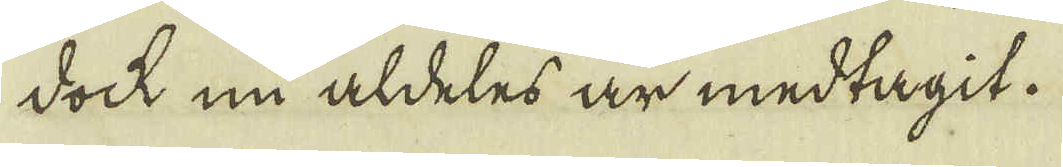dock nu aldeles är medtagit.
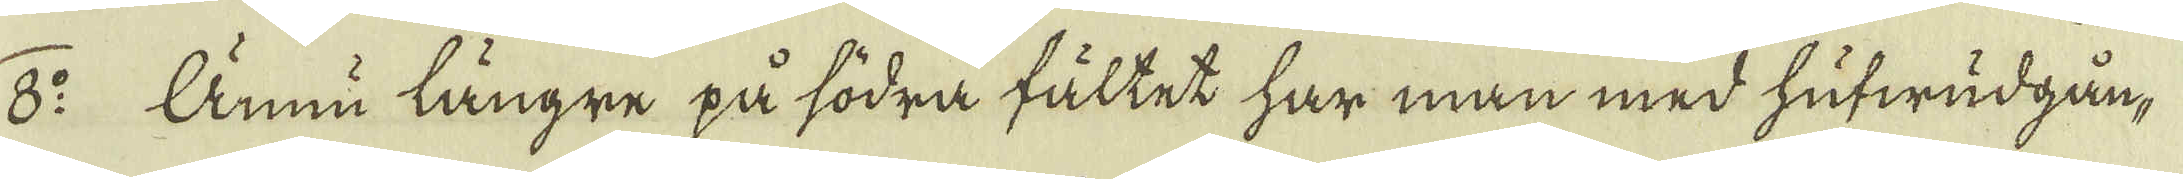8:o Ännu längre på södra fältet har man med hufwudgån-
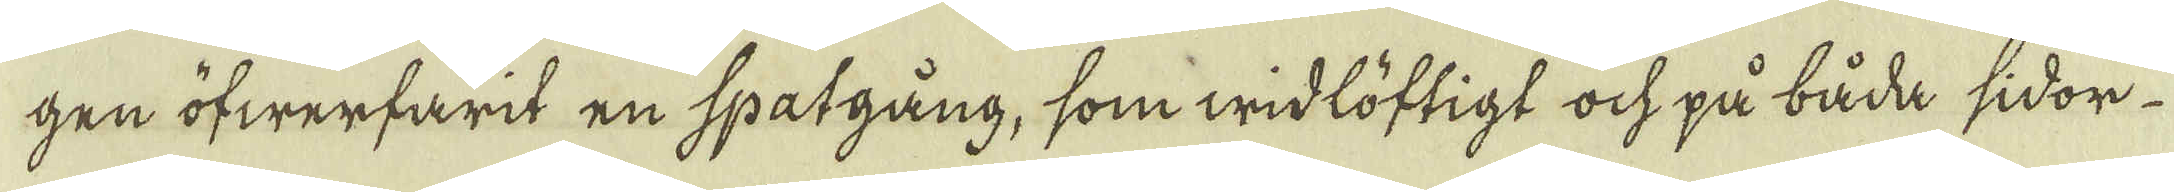gen öfwerfarit en spatgång, som widlöftigt ock på båda sidor
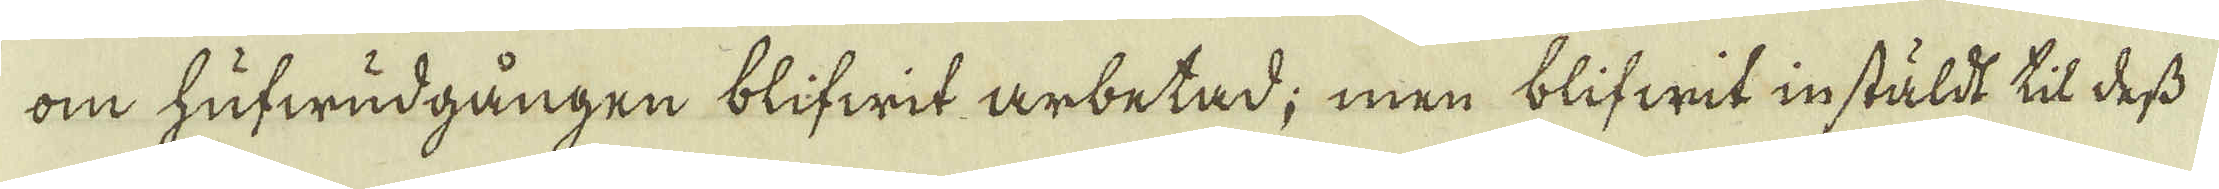om hufwudgången blifwit arbetad; men blifwit instäldt til dess
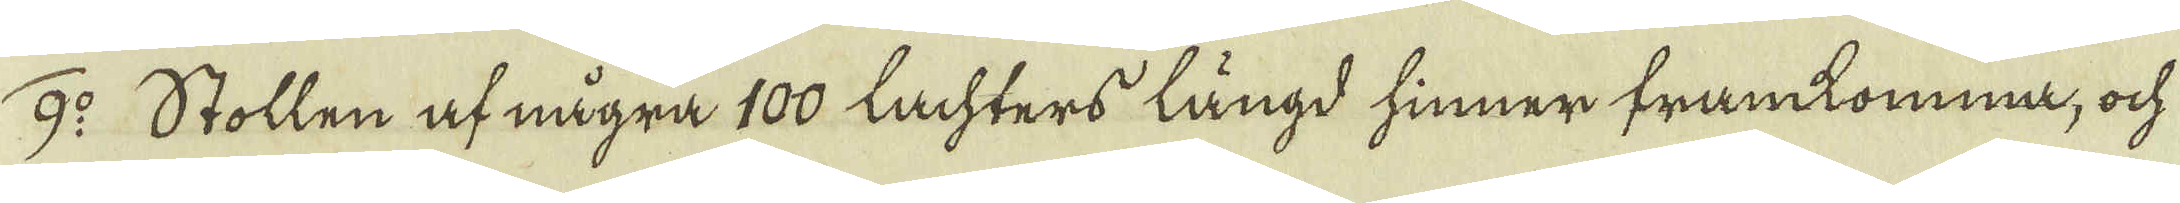9:o Stollen af några 100 lachters längd hinner framkomma, ock
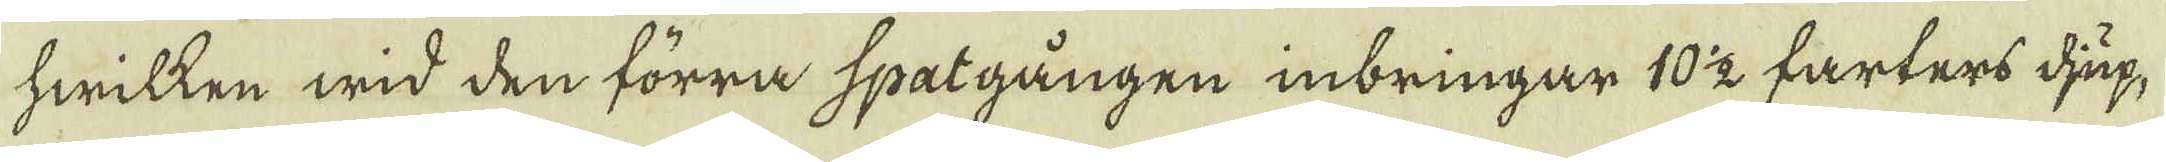hwilken wid den förra spatgången inbringar 10 1/2 farters djup,
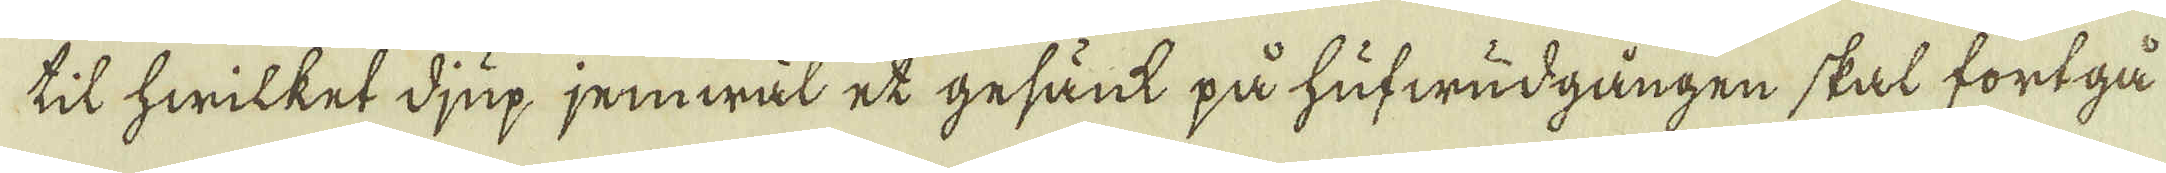til hwilket djup jemwäl et gesänt på hufwudgången skal fortgå
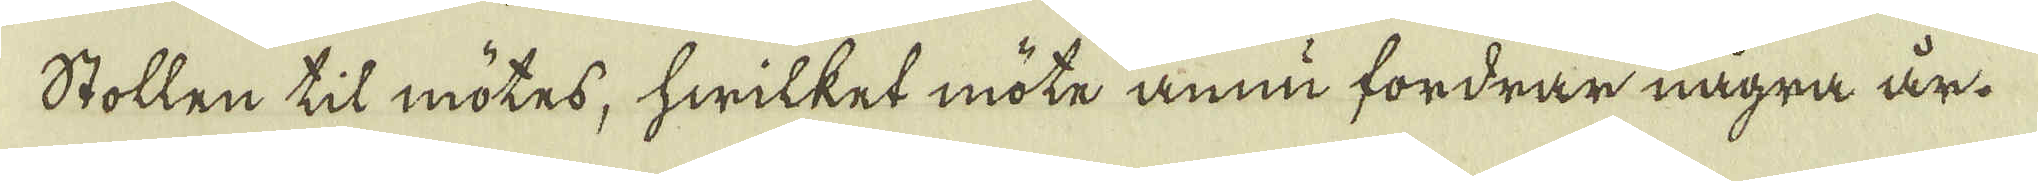Stollen til mötes, hwilket möte ännu fordrar några år.
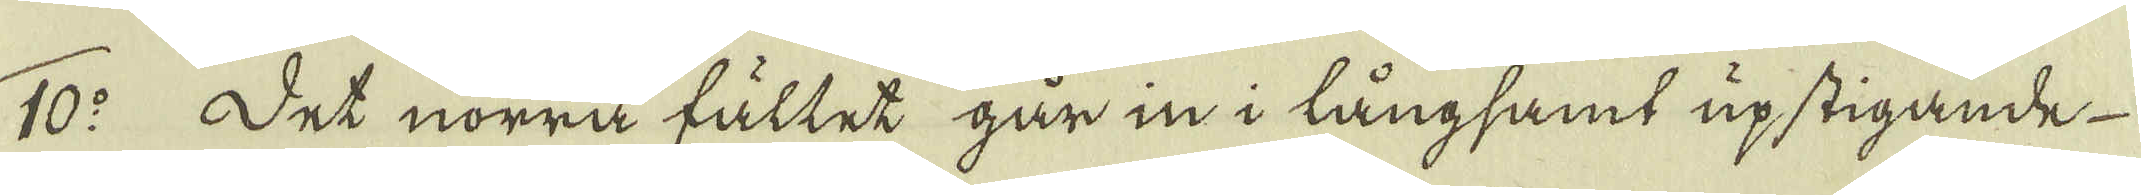10:o Det nörra fältet går in i långsamt upstigande
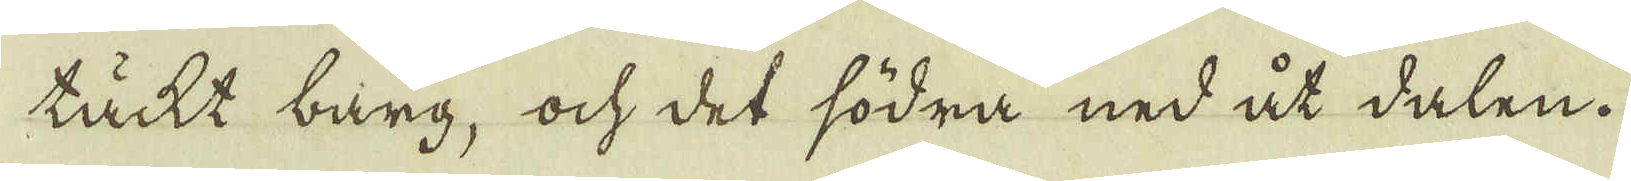täckt bärg, ock det södra ned åt dalen.
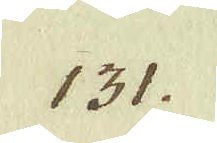131.
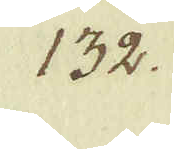132.
